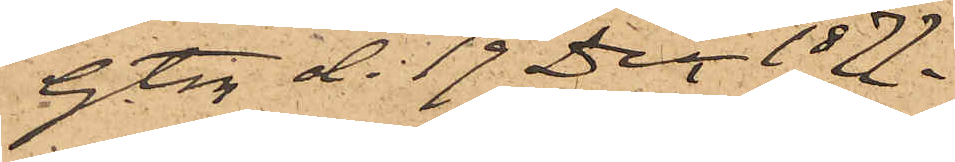Gbg d. 19 Dec 1877.
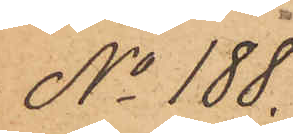No 188.
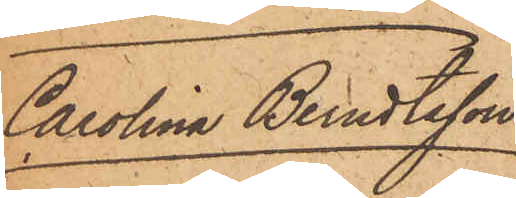Carolina Berndtsson
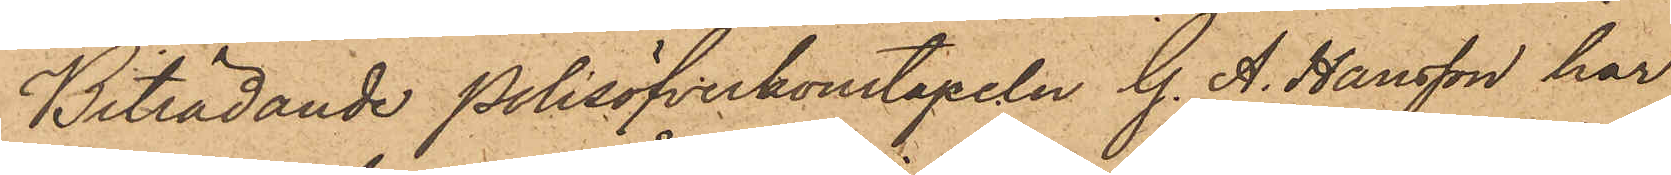Biträdande Polisöfverkonstapeln G. A. Hansson har
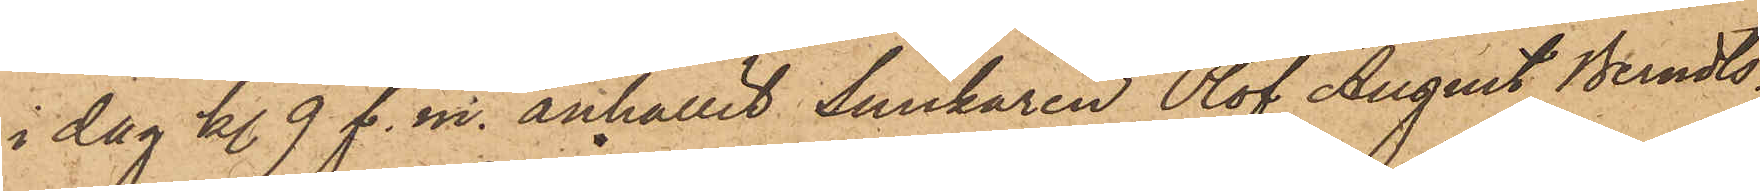i dag kl. 9 f. m. anhållit Snickaren Olof August Berndts¬
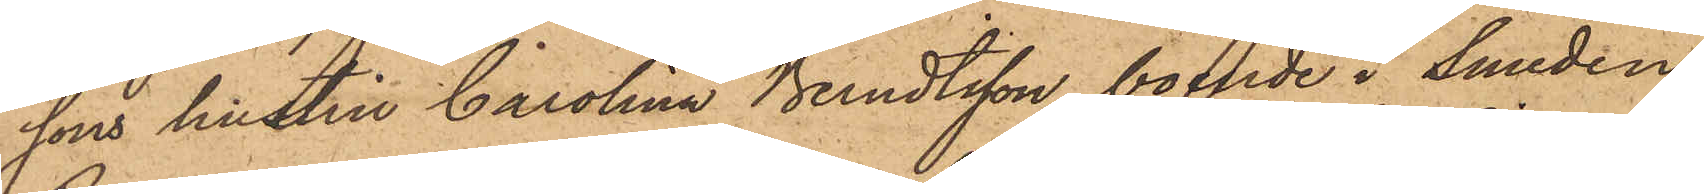sons hustru Carolina Berndtsson, boende i Smeden
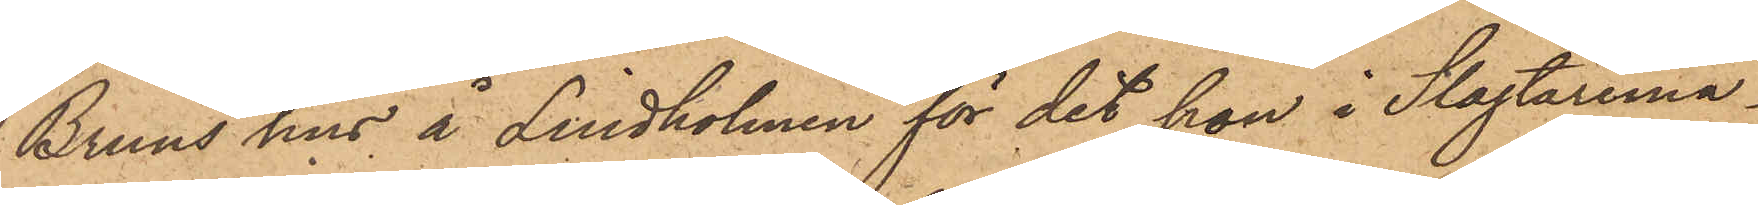Bruns hus å Lindholmen för det hon i Slagtaremä¬
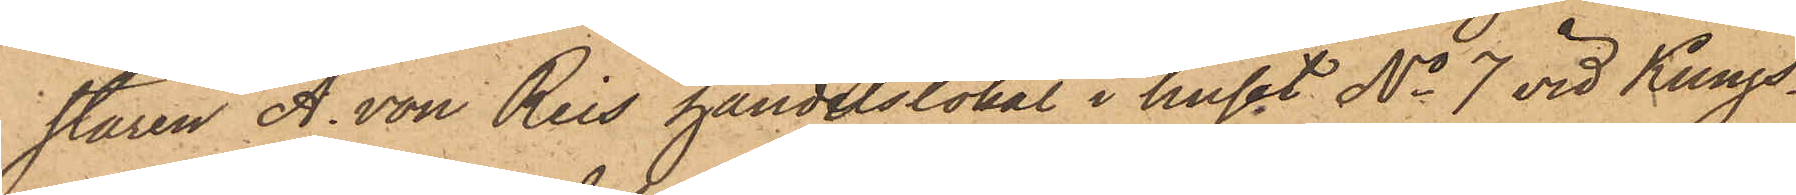staren A. von Reis handelslokal i huset No 7 vid Kungs¬
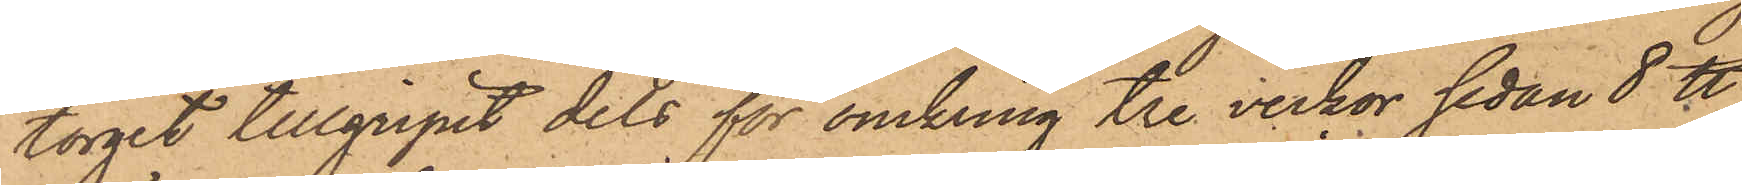torget tillgripit dels för omkring tre veckor sedan 8 ℔
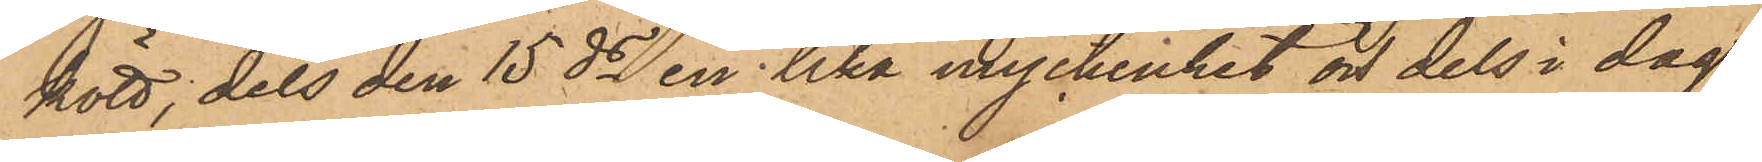kött, dels den 15 ds en lika myckenhet och dels i dag
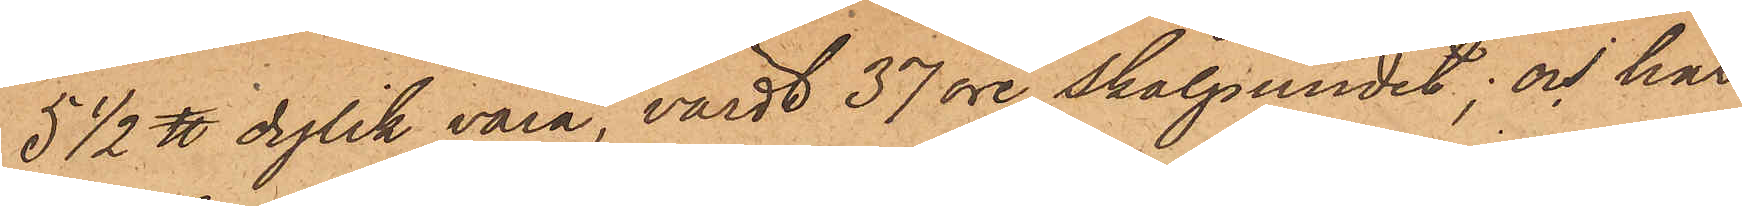5 1/2 ℔ dylik vara, värdt 37 öre skålpundet; och har
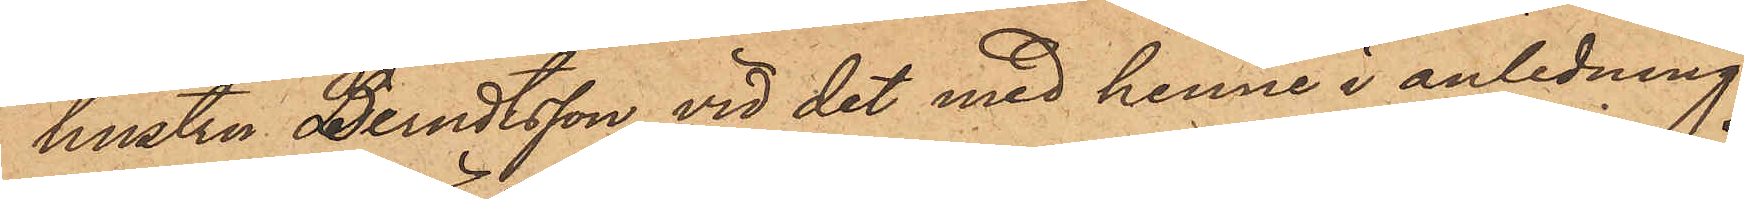hustru Berndtsson vid det med henne i anledning
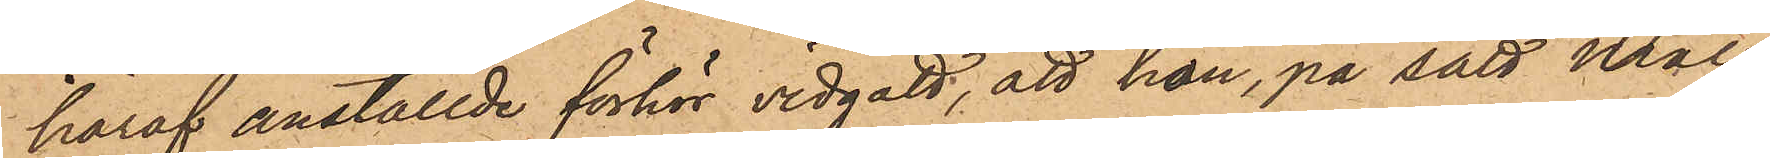häraf anställde förhör vidgått, att hon, på sätt måls¬
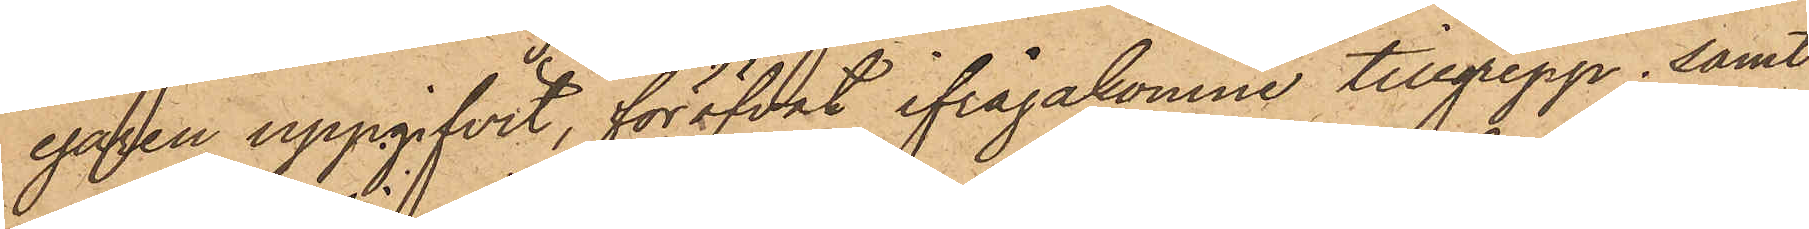egaren uppgifvit, föröfvat ifrågakomne tillgrepp; samt
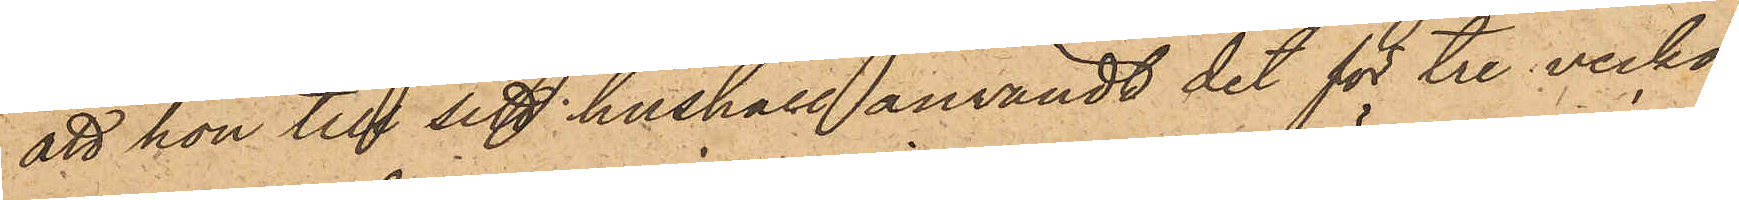att hon till sitt hushåll användt det för tre veckor
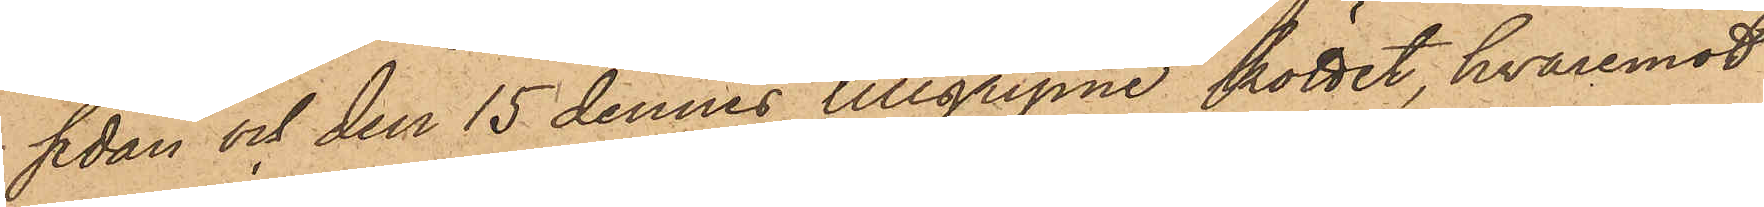sedan och den 15 dennes tillgripne köttet, hvaremot
